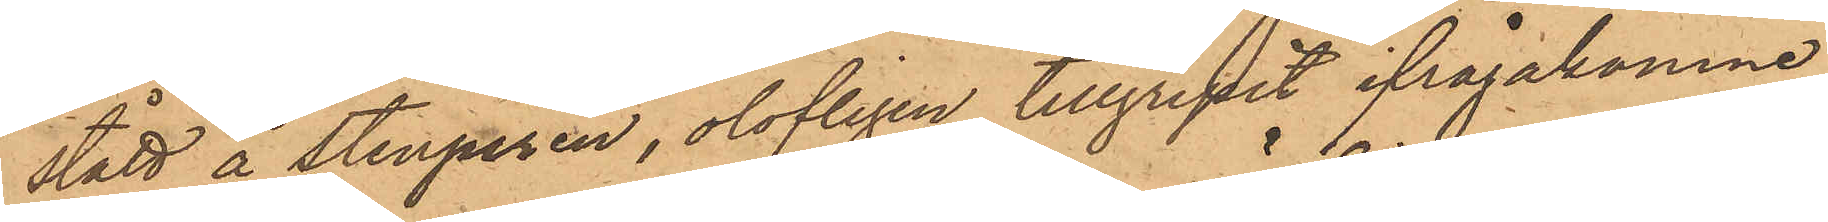stått å Stenpiren, olofligen tillgripit ifrågakomne
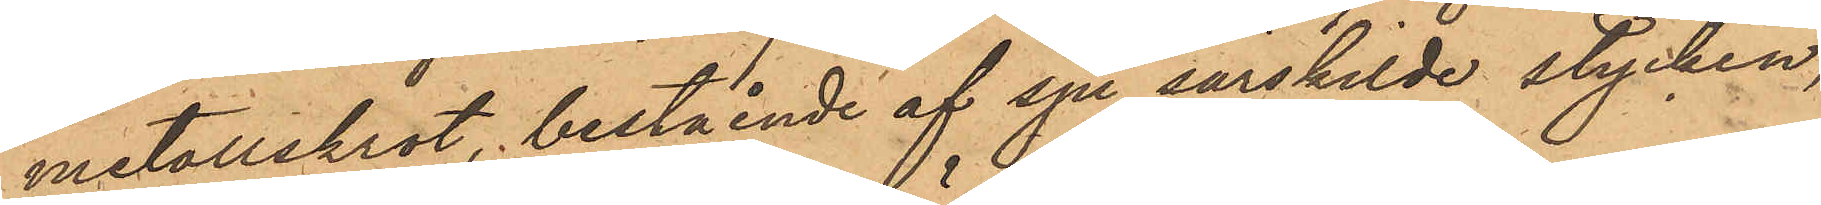metallskrot, bestående af sju särskilde stycken,
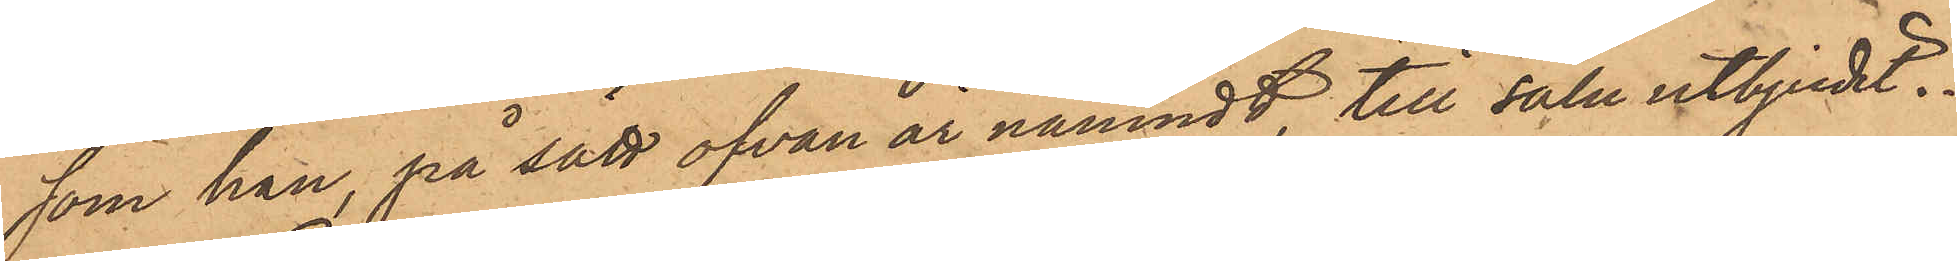som han, på sätt ofvan är nämndt, till salu utbjudit.
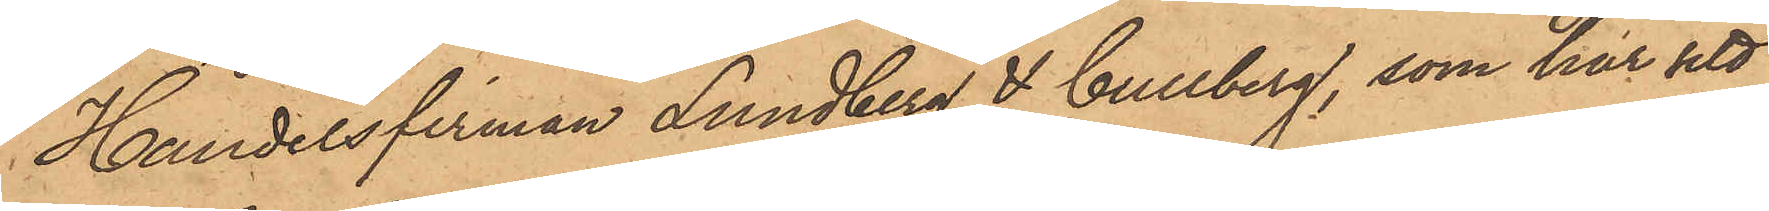Handelsfirman Lundberg & Gullberg, som har sitt
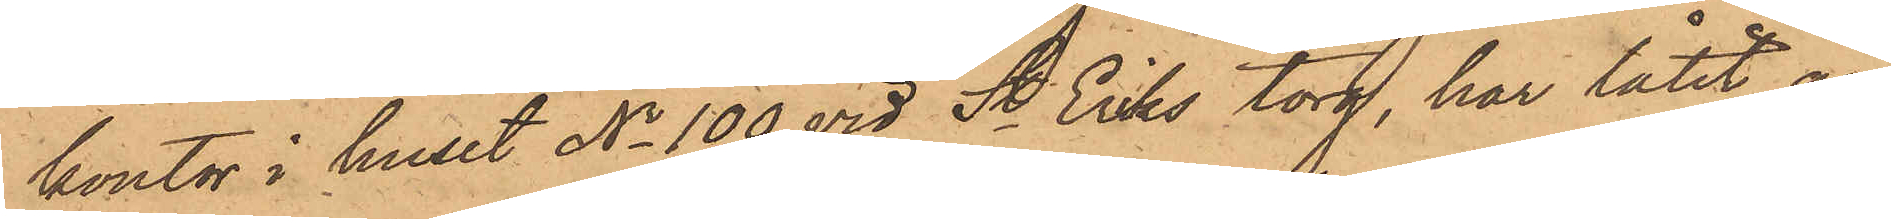kontor i huset No 100 vid St. Eriks torg, har låtit an¬
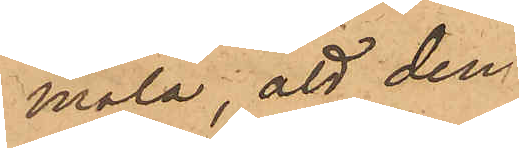mäla; att den
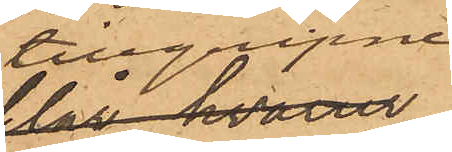tilgripne
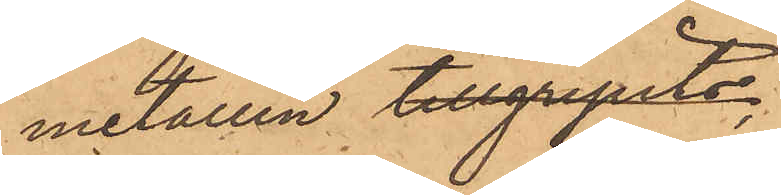metallen tillgripits;
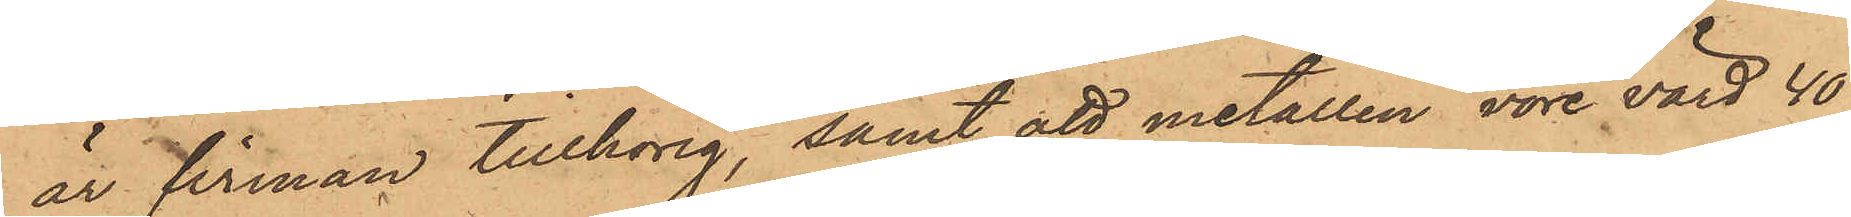är firman tillhörig samt att metallen vore värd 40
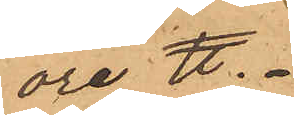öre ℔.
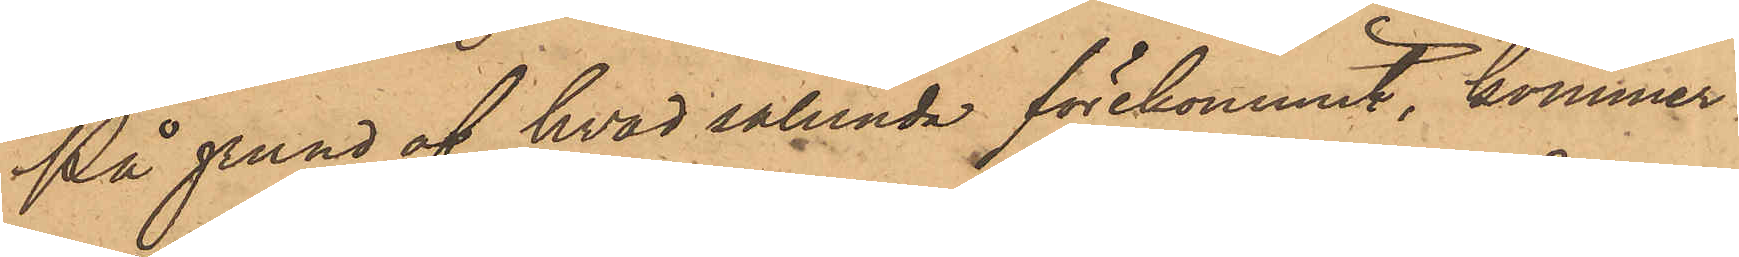På grund af hvad sålunda förekommit, kommer
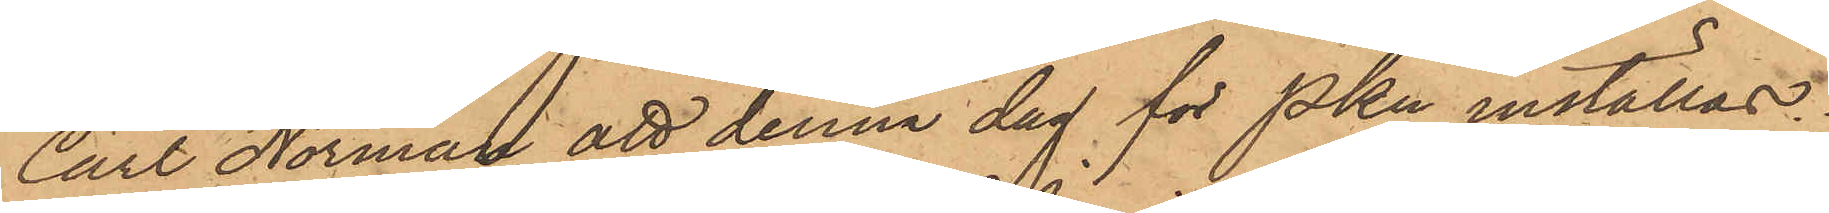Carl Norman att denna dag för PKn inställas.
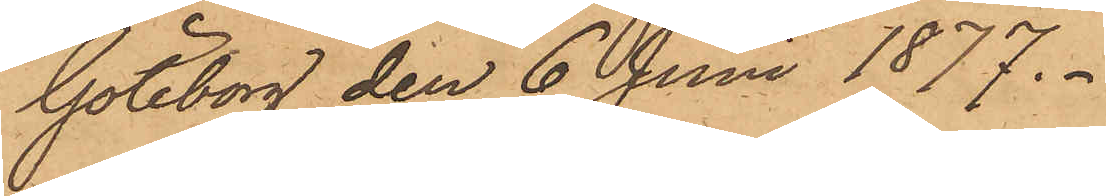Göteborg den 6 Juni 1877.
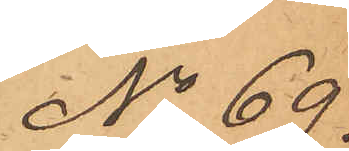No 69.
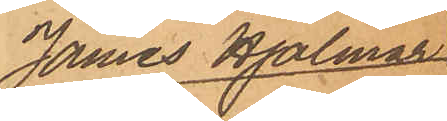James Hjalmar
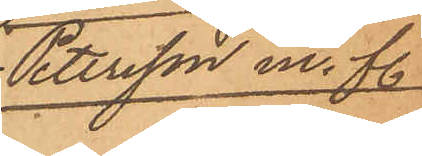Petersson m. fl.
